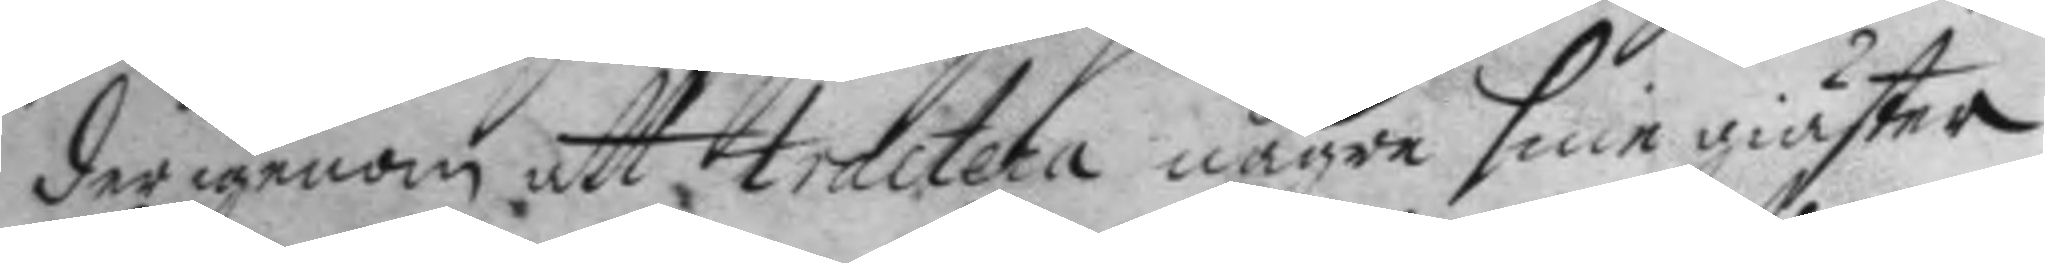derigenom att tractera någre sine giäster
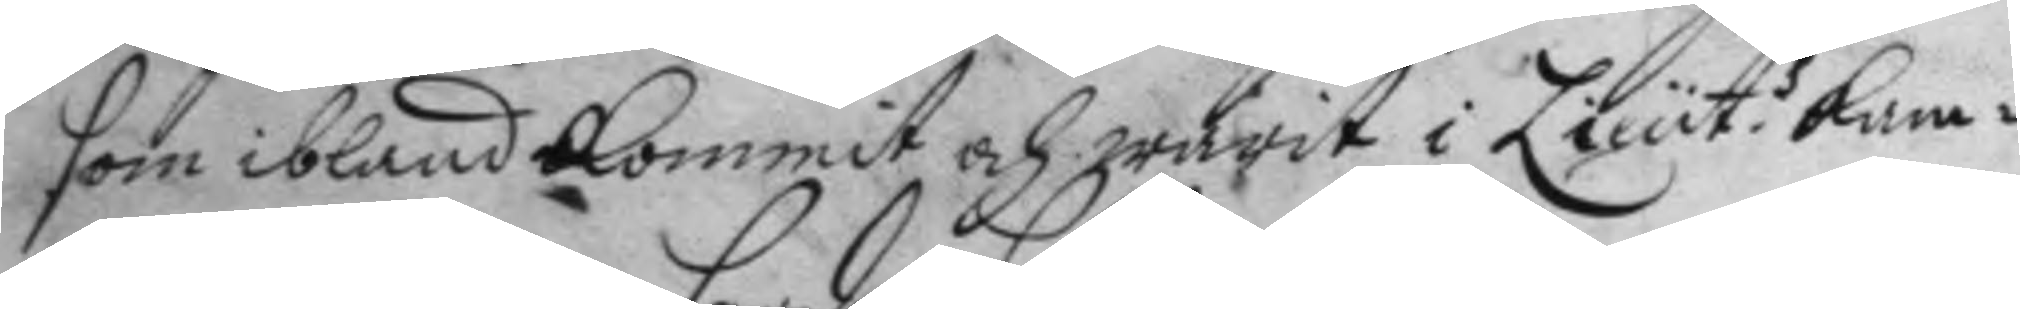som ibland kommit och warit i Lieut.s kam¬ 
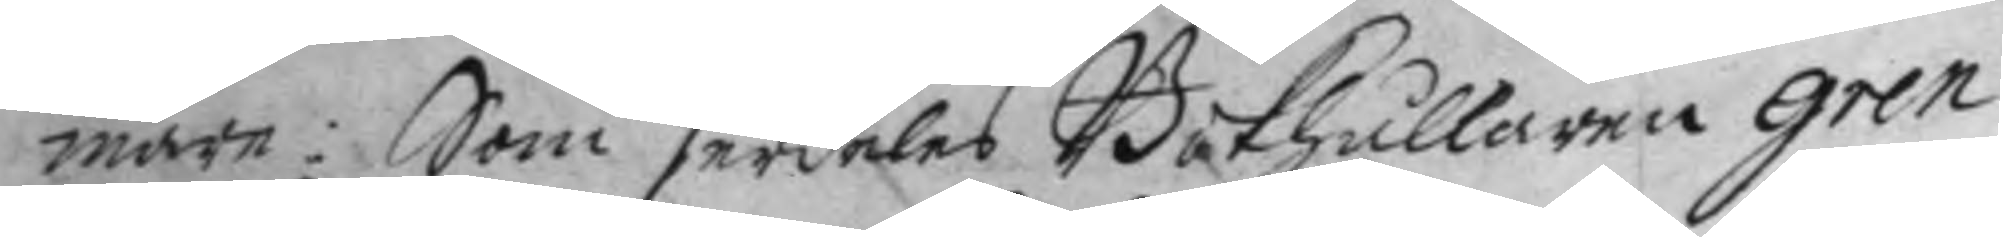mare: Som serdeles Bokhållaren Gren
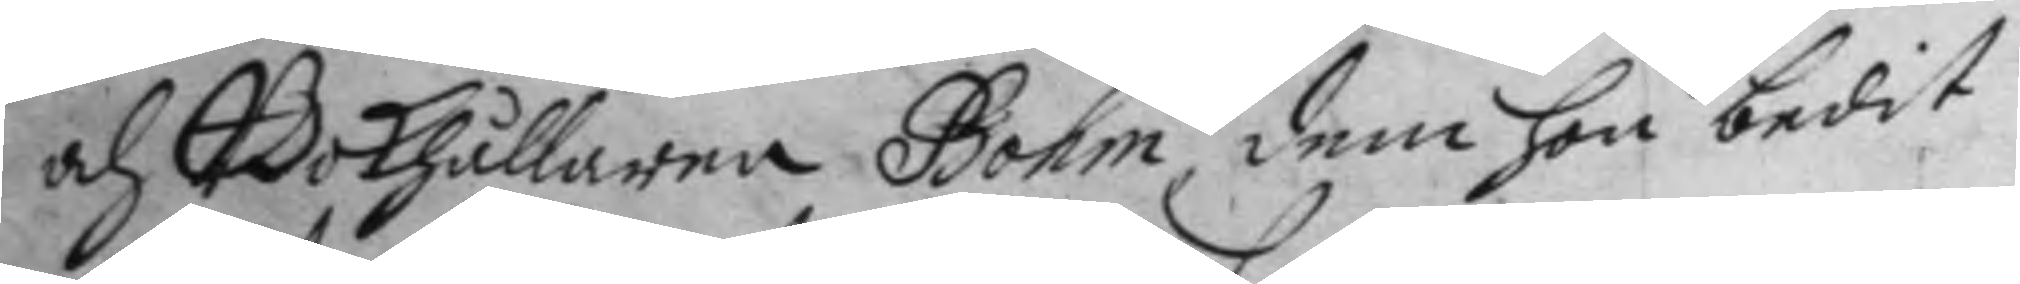och Bokhållaren Bohm, dem hon bedit
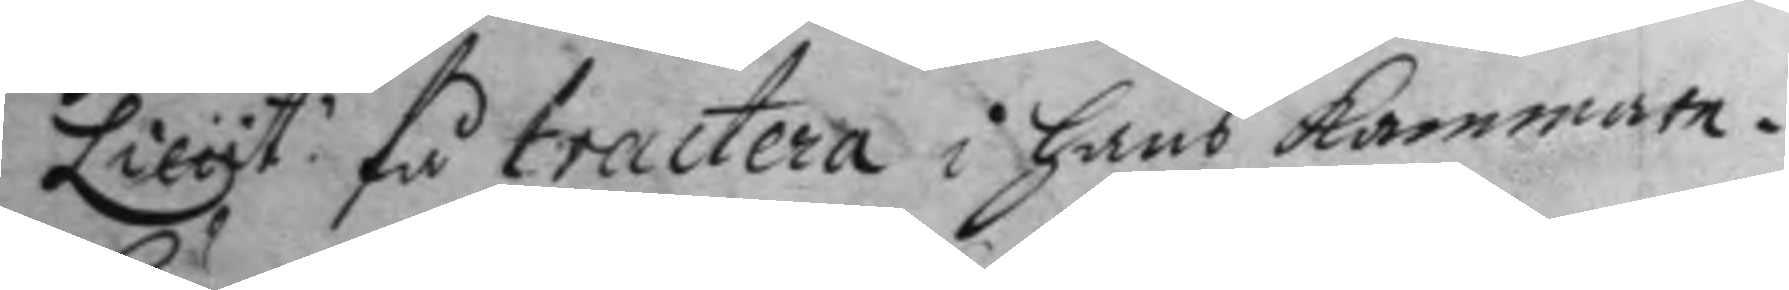Lieut. få tractera i hans kammare.
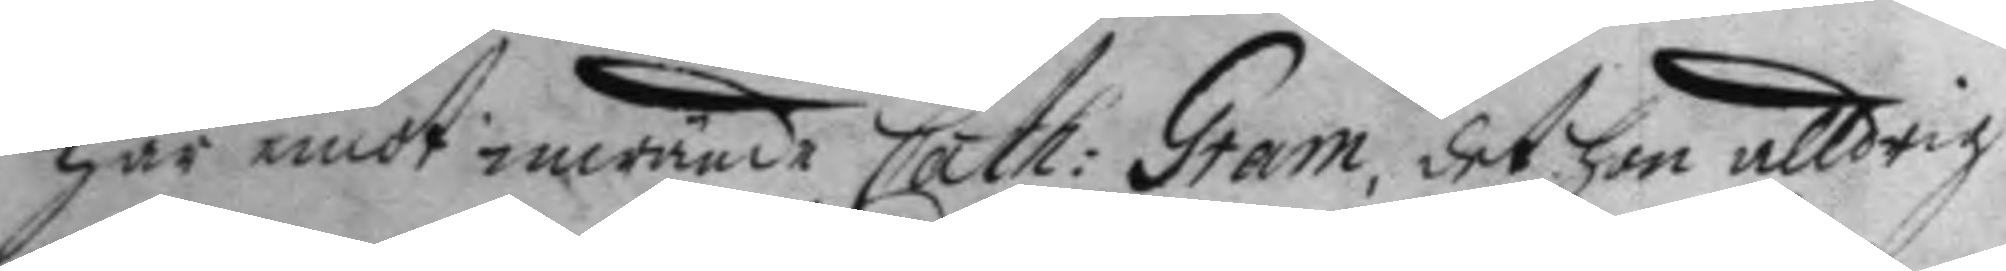Här emot inwände Cath: Gram, det hon alldrig 
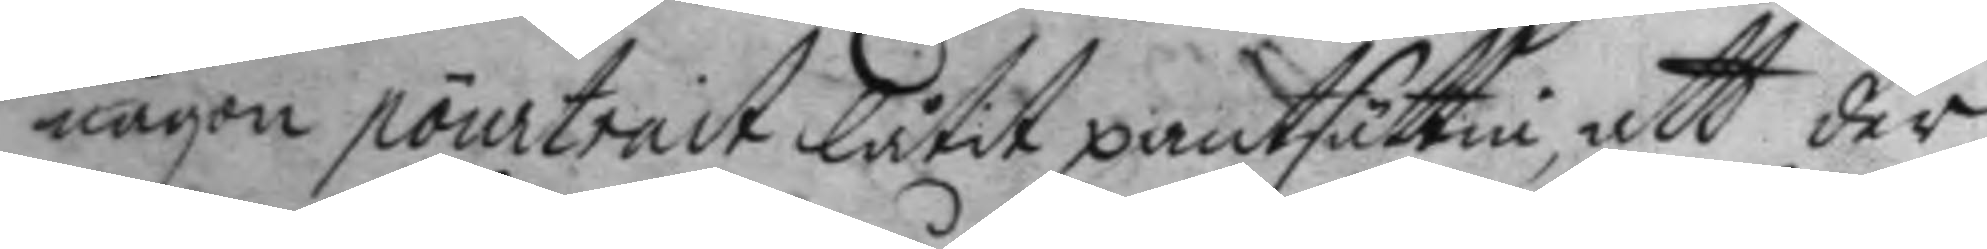någon pourtrait låtit pantsättia, att der
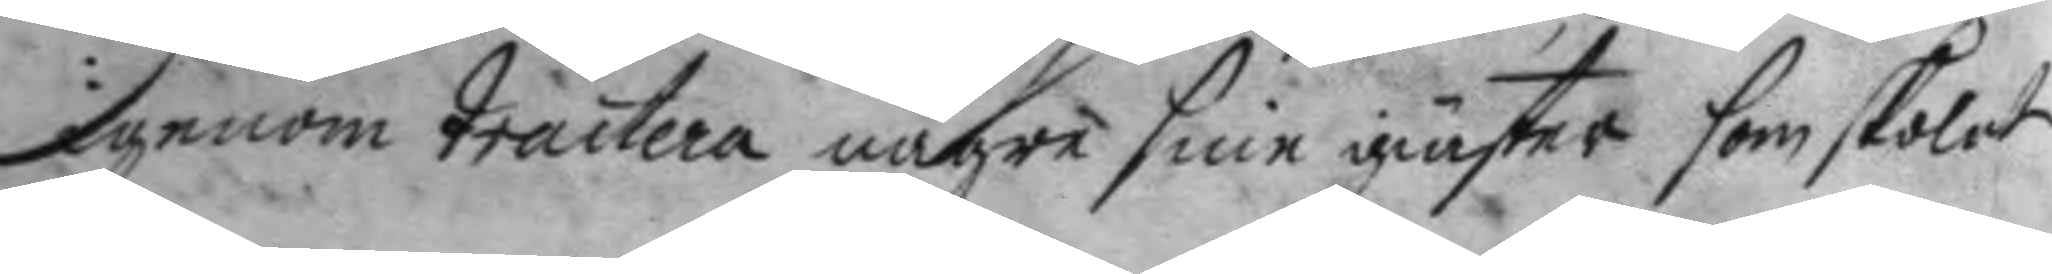igenom tractera någre sine giäster som skolat
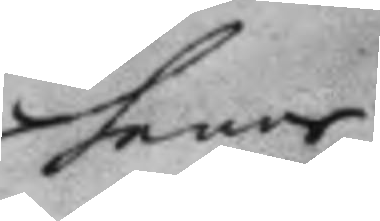henne
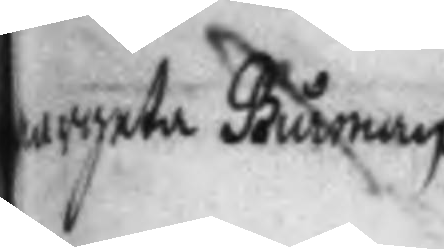margeta Biurman
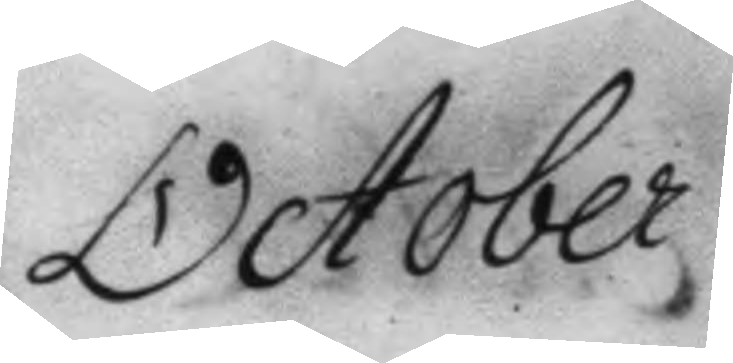October.
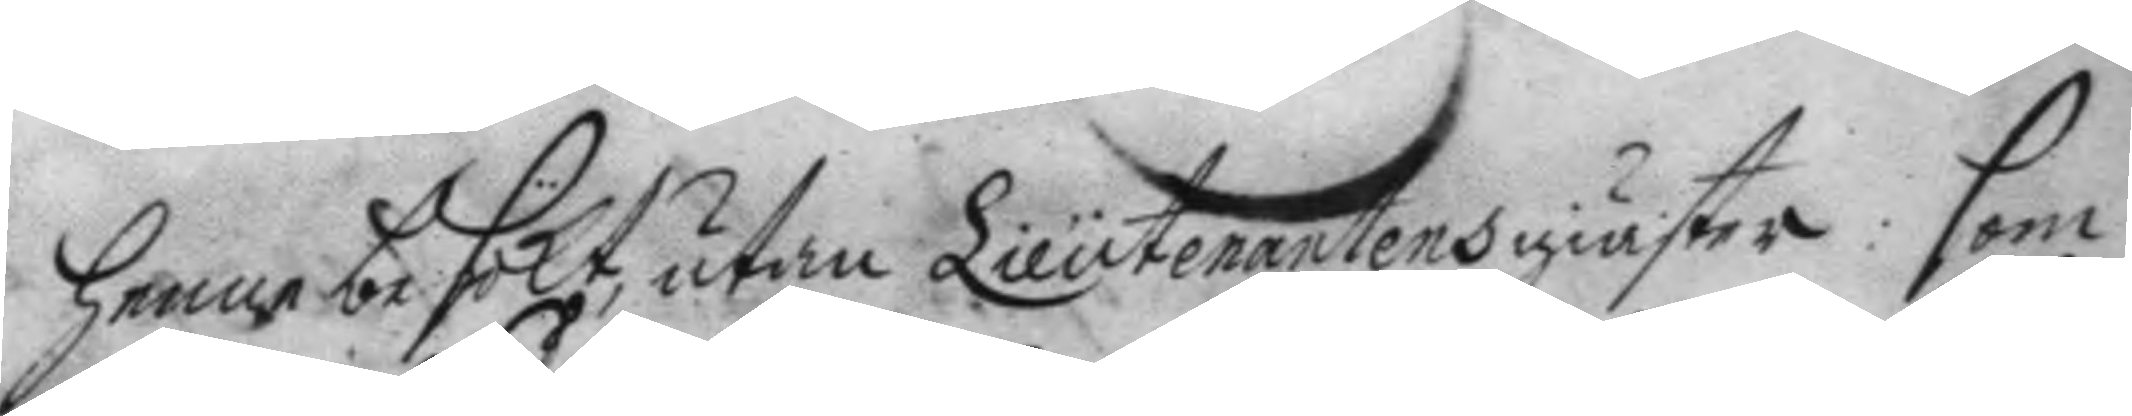henne besökt, utan Lieutenantens giäster: som
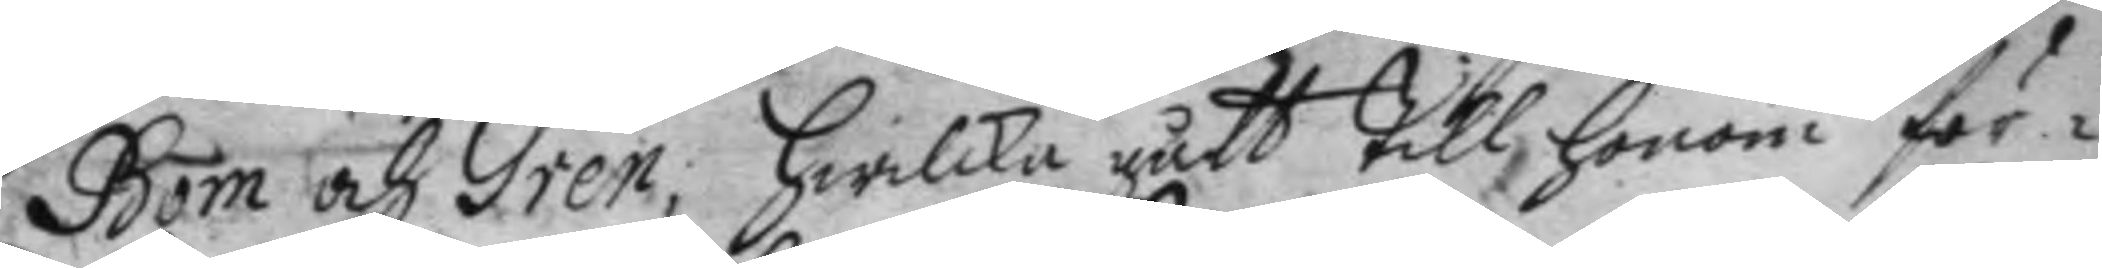Bom och Gren; Hwilka gått till honom för¬
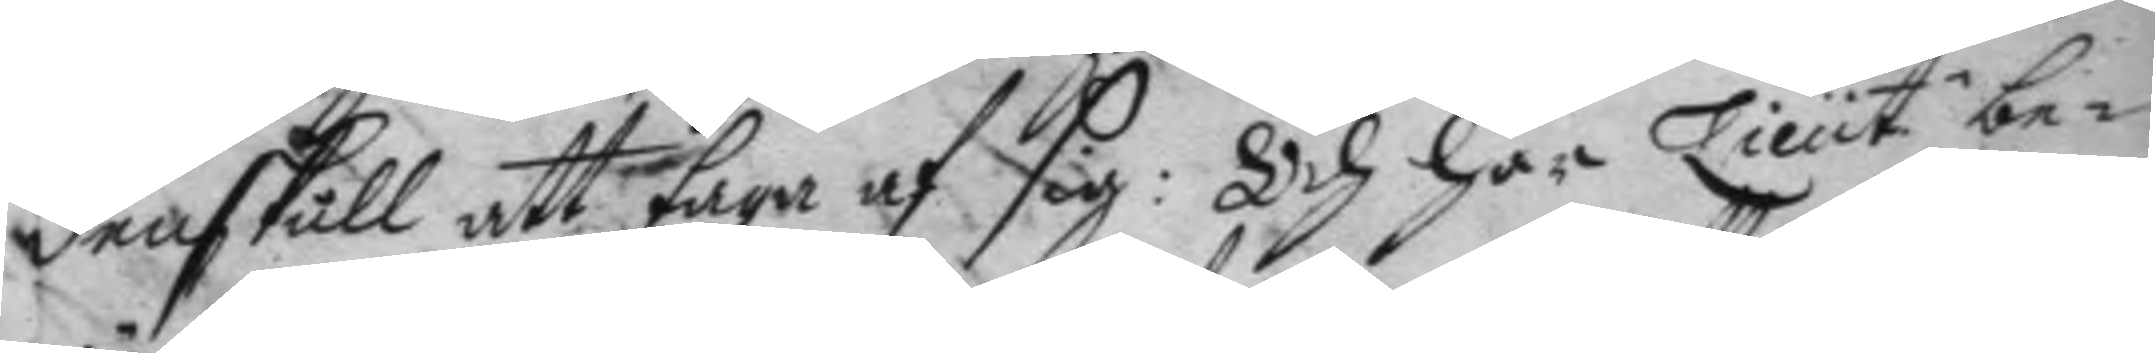denskull att taga af sig: Och har Lieut be¬
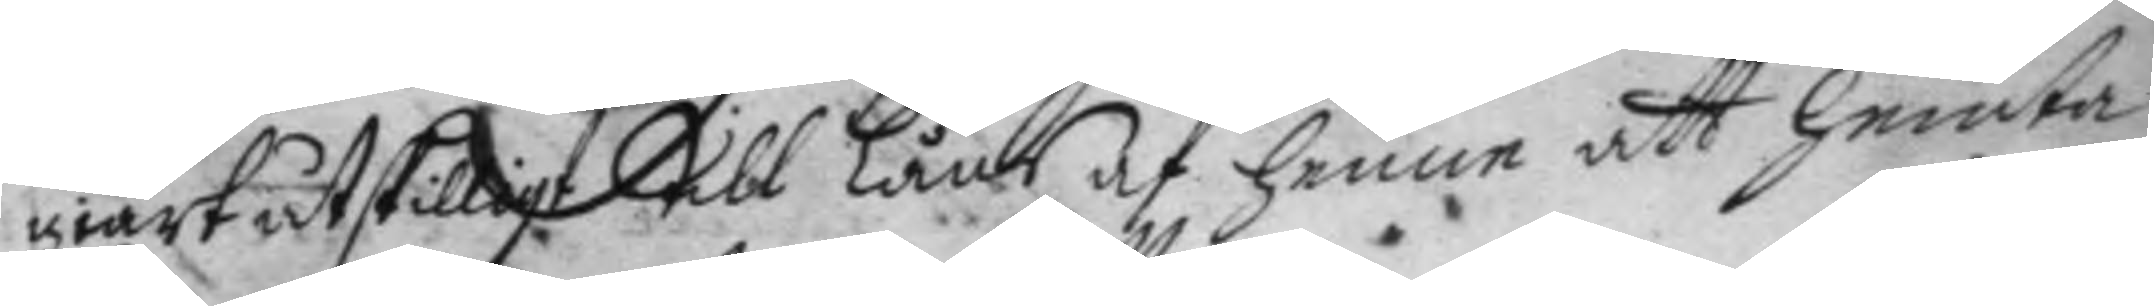giärt åtskillit till Låns af henne att hemta
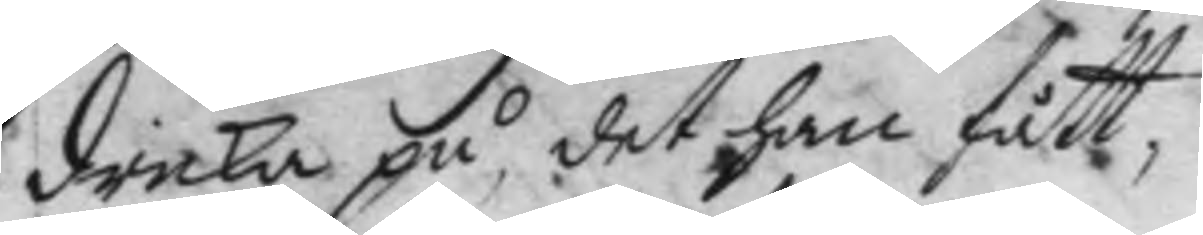dricka på, det han fått,
